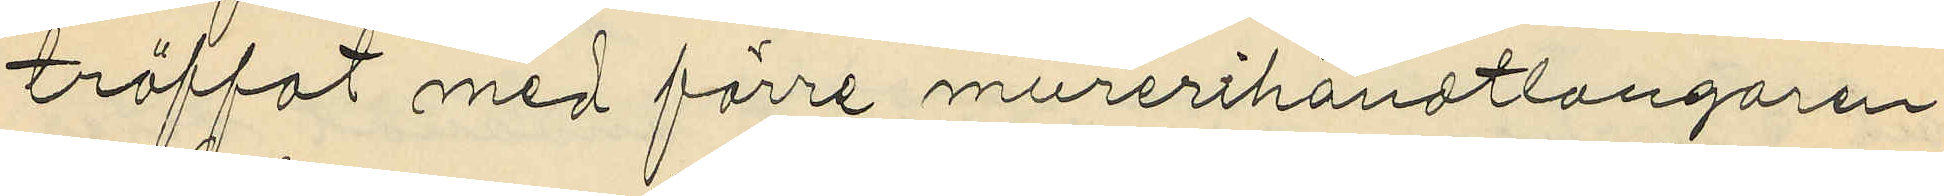träffat med förre murerihandtlangaren
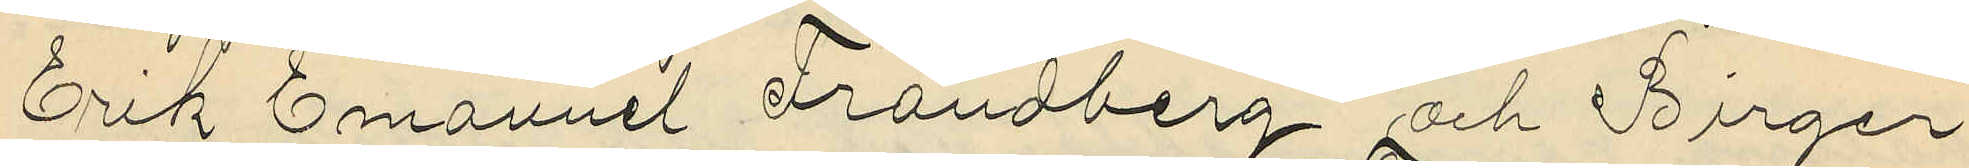Erik Emanuel Frändberg och Birger
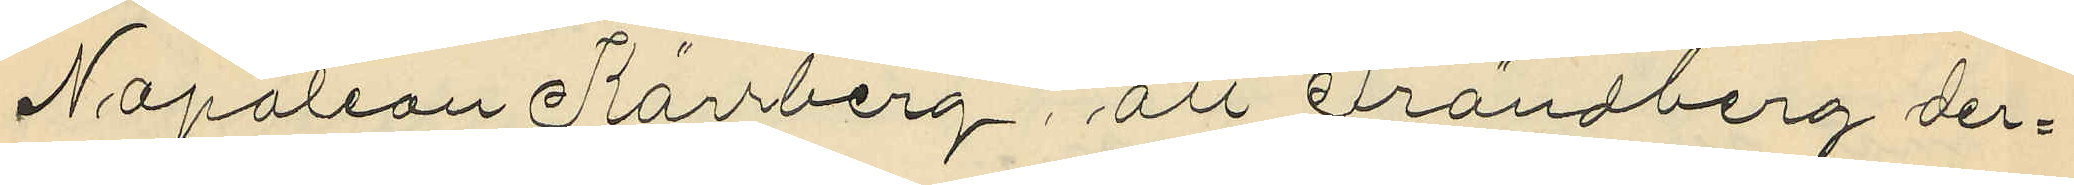Napaleon Kärrberg, att Frändberg der¬
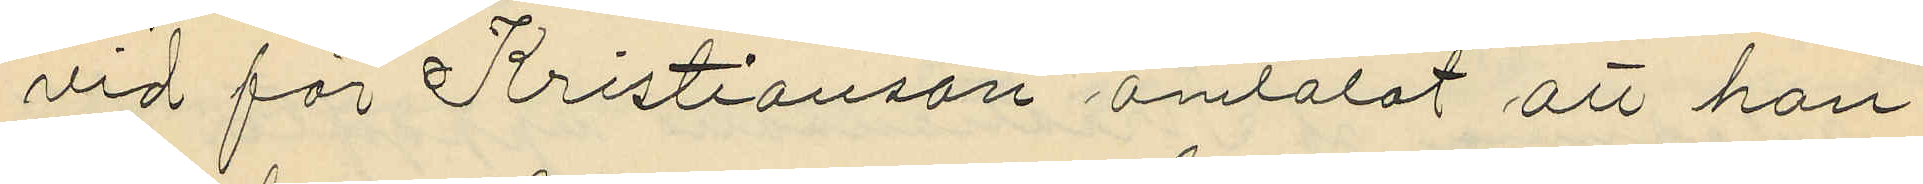vid för Kristianson omtalat att han
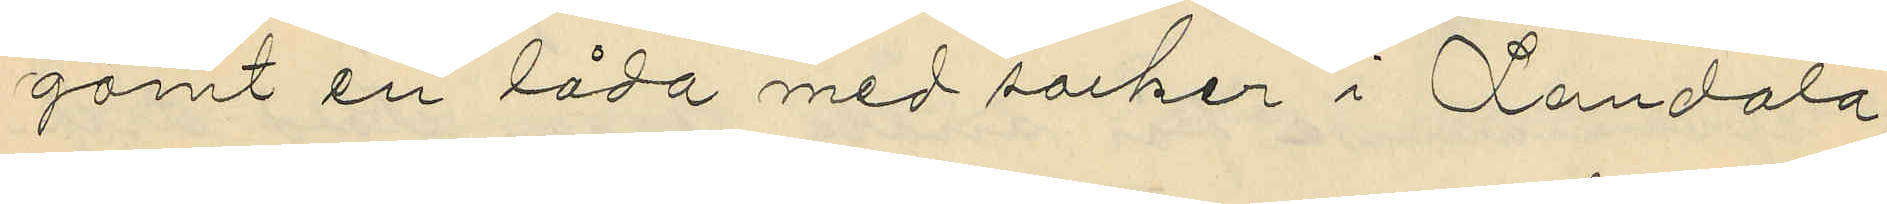gömt en låda med socker i Landala
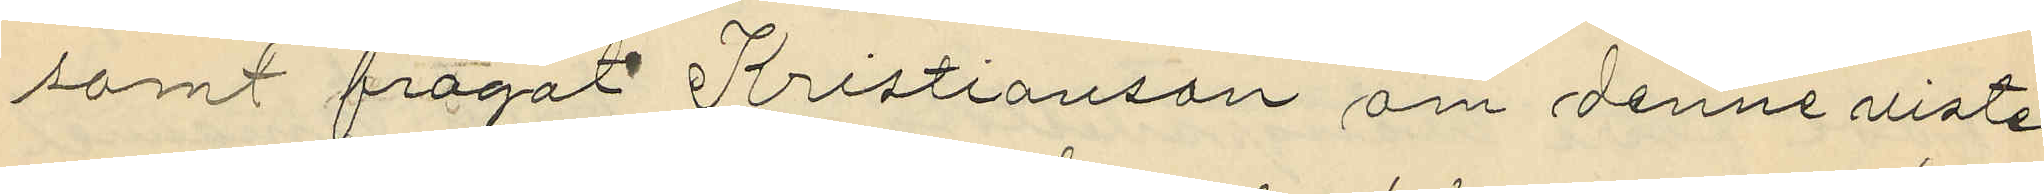samt frågat Kristianson om denne viste
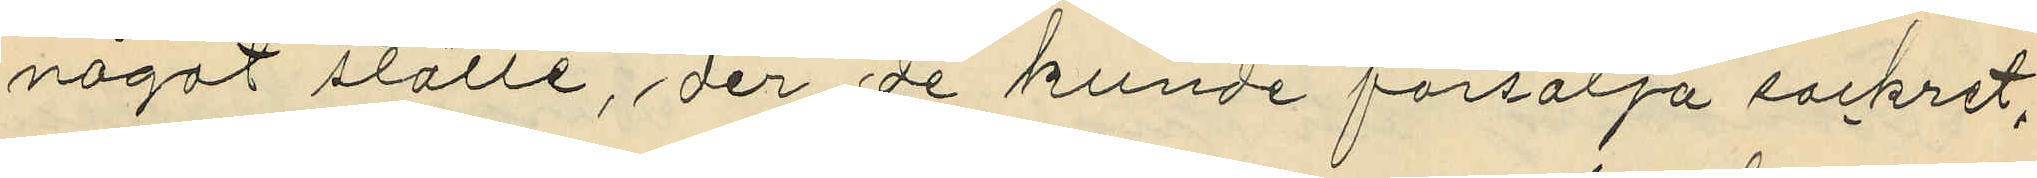något ställe, der de kunde försälja sockret,
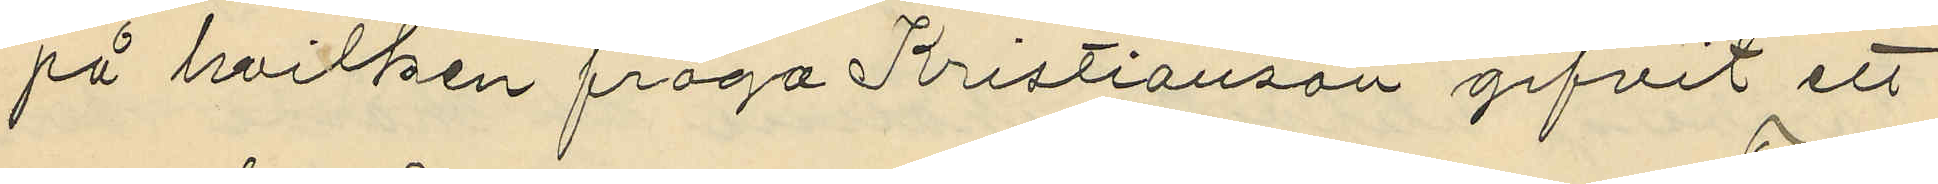på hvilken fråga Kristianson gifvit ett
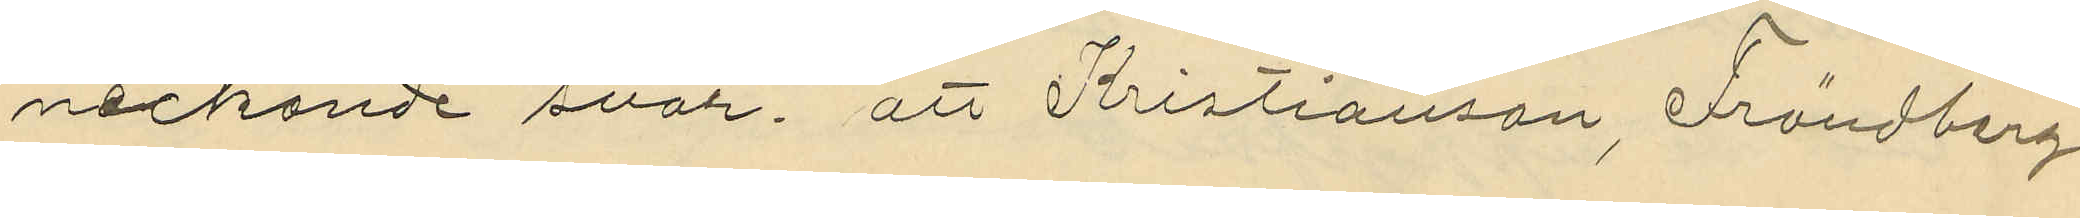neckande svar att Kristianson, Frändberg
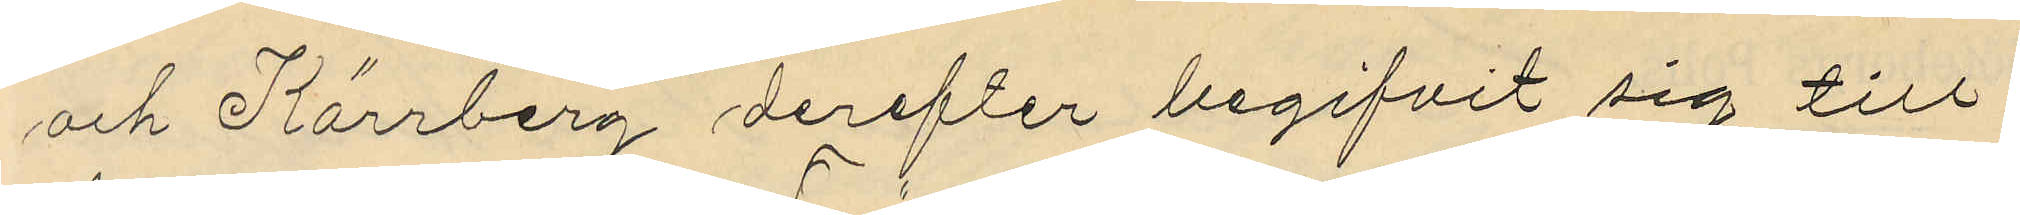och Kärrberg derefter begifvit sig till
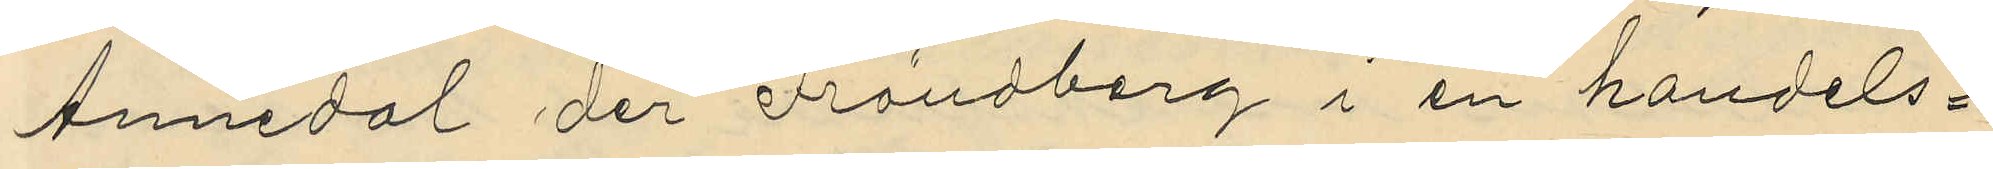Annedal der Frändberg i en handels¬
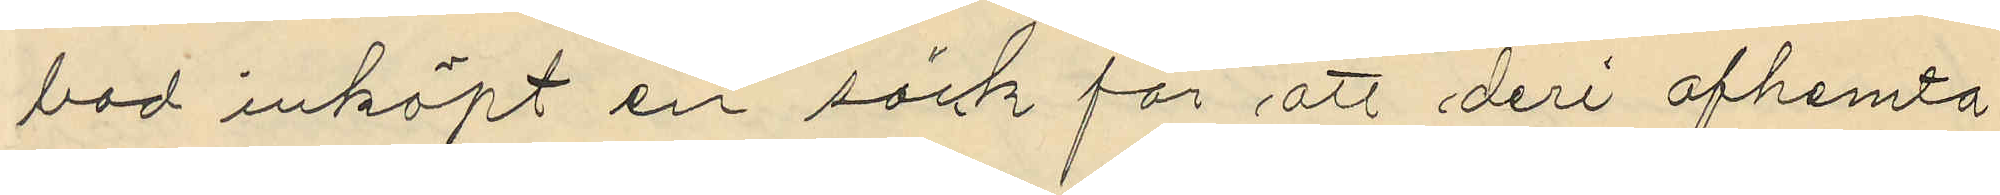bod inköpt en säck för att deri afhemta
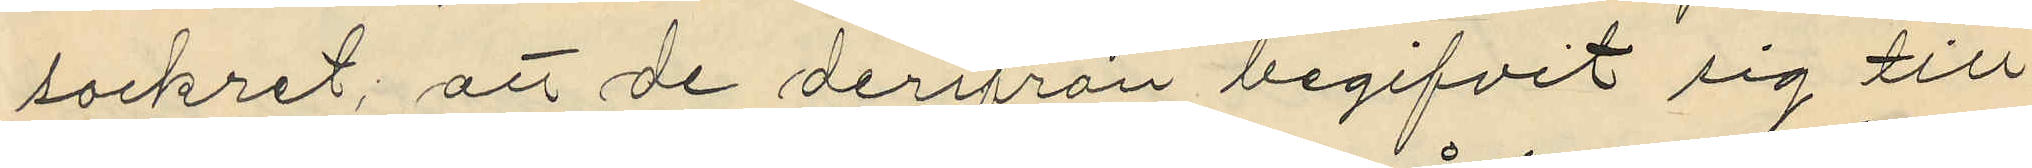sockret; att de derifrån begifvit sig till
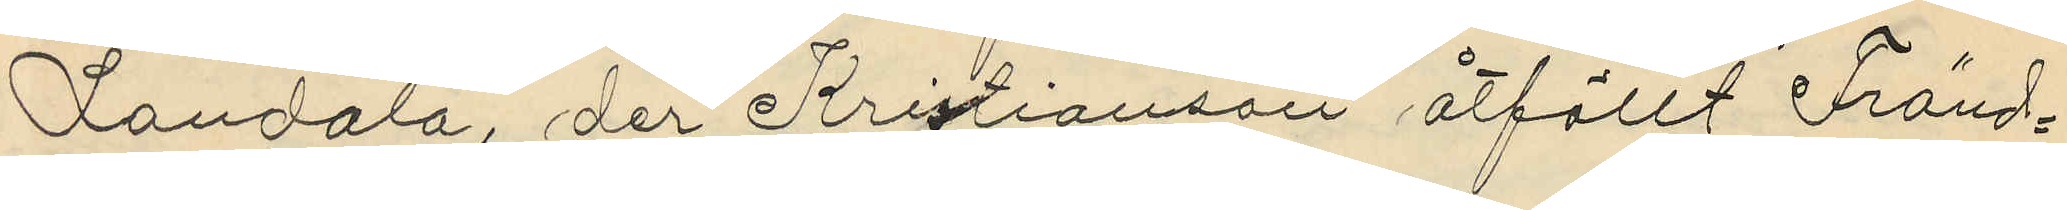Landala, der Kristianson åtföllt Fränd¬
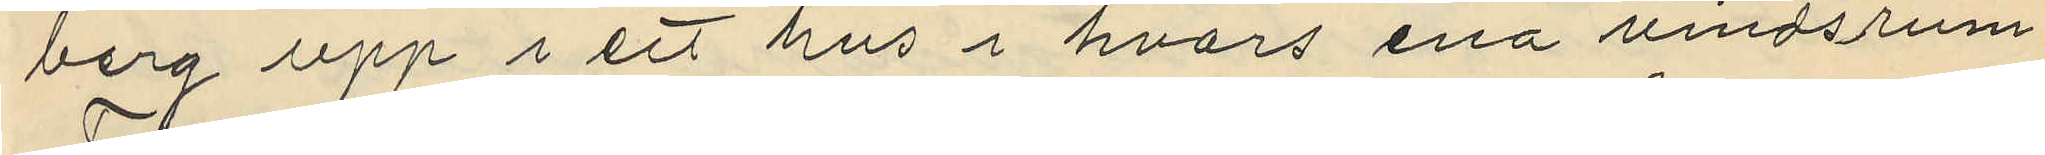berg upp i ett hus i hvars ena vindsrum
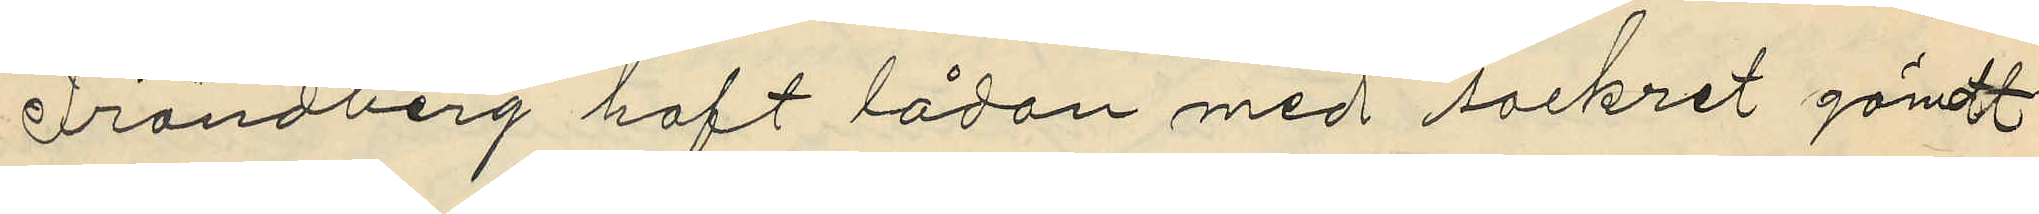Frändberg haft lådan med sockret gömt
